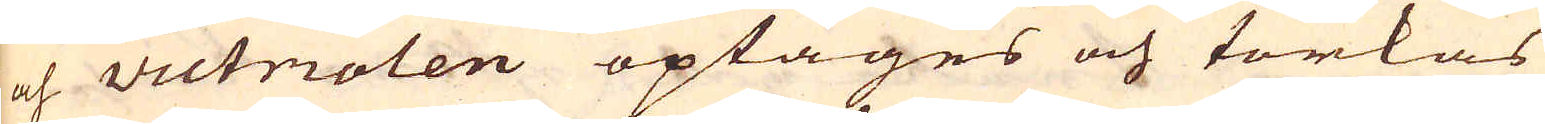och victriolen optages och torkas
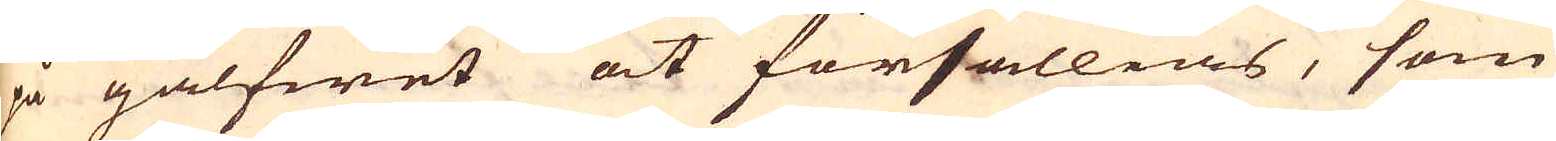på gålfwet at försällias, som
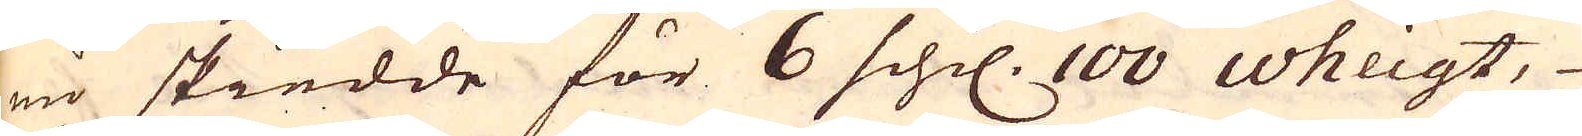nu skiedde för 6 schil. 100 wheigt,
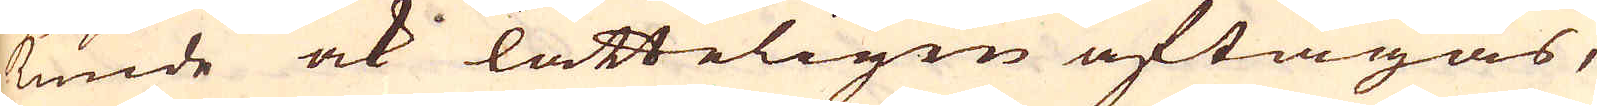kunde ock lätteligen aftagas,
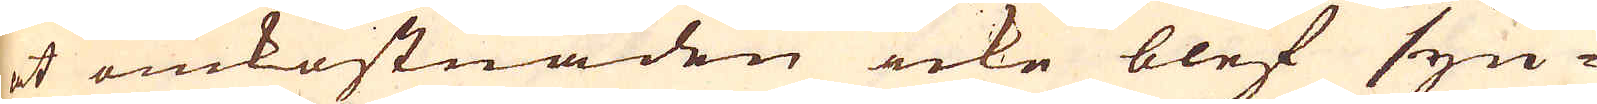at omkostnaden icke blef syn-
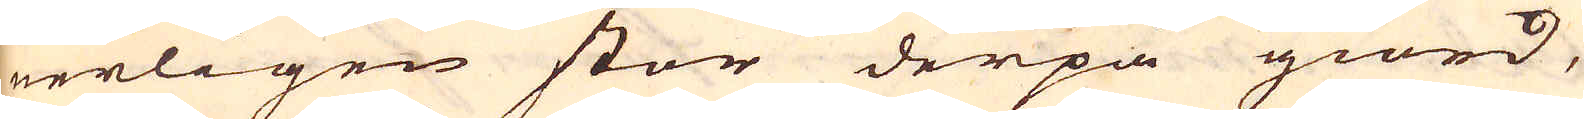nerligen stor derpå giord,
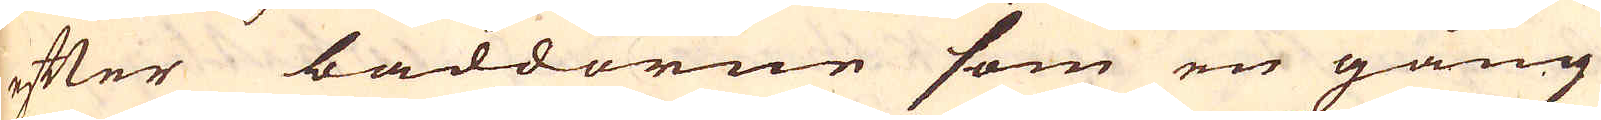efter bäddorne som en gång
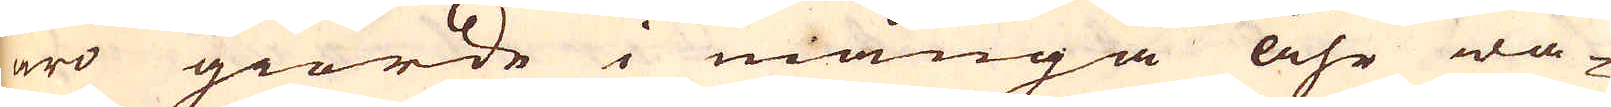äro giorde i många åhr wa-
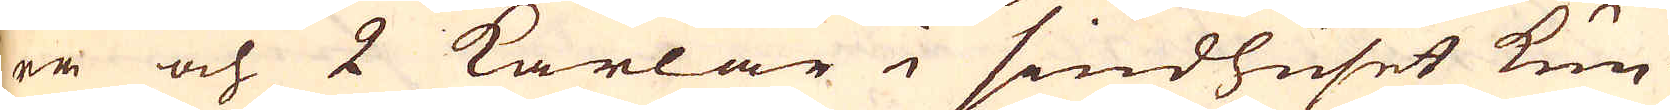ra och 2 karlar i siudhuset kun-
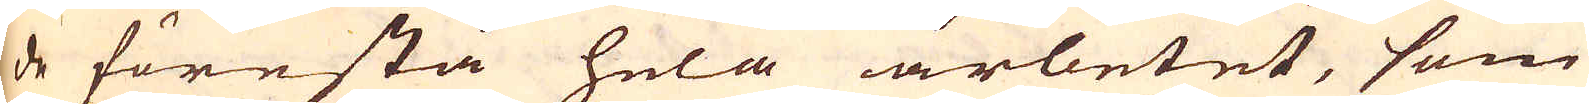de förestå hela arbetet, som
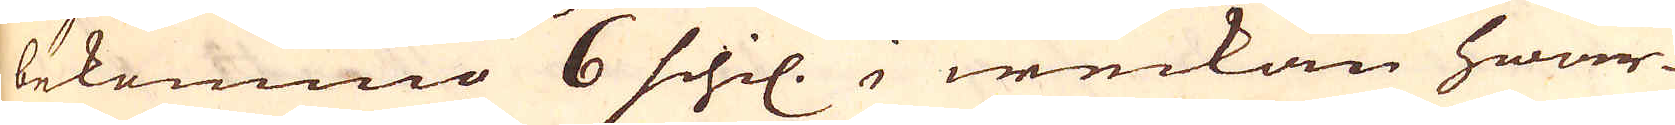bekommo 6 schil. i weckan hwar-
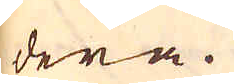dera.
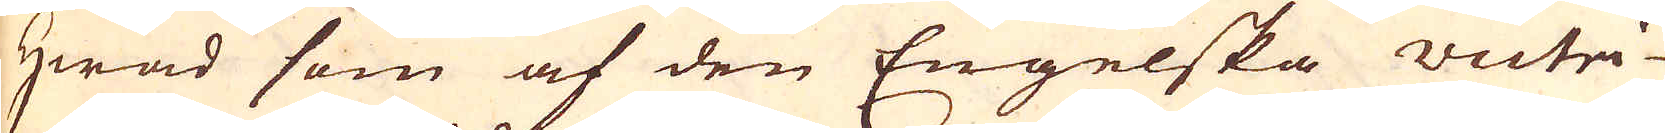Hwad som af den Engelska victri-
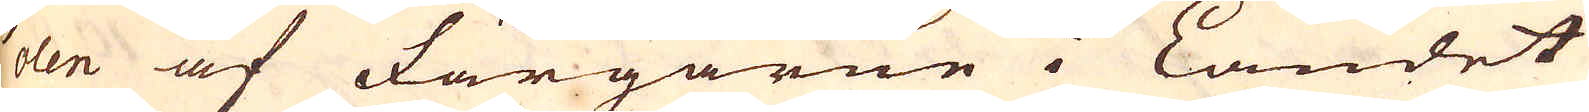olen af Färgarne i Landet
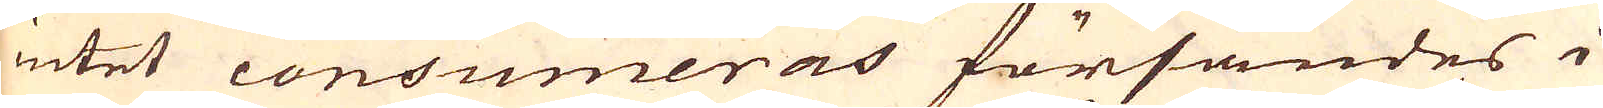intet consumeras försändes i
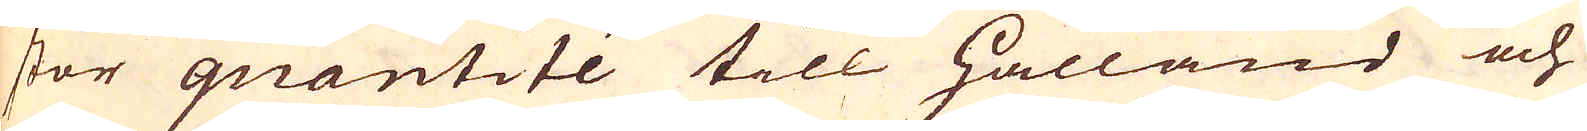stor quantité till Hålland och
